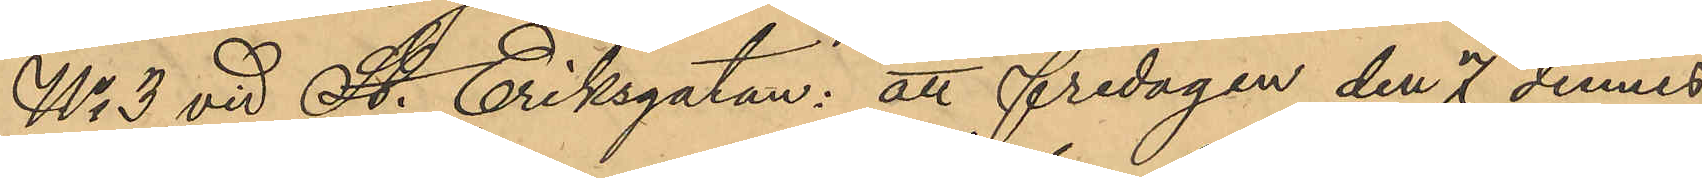No 3 vid St. Eriksgatan: att fredagen den 7 dennes
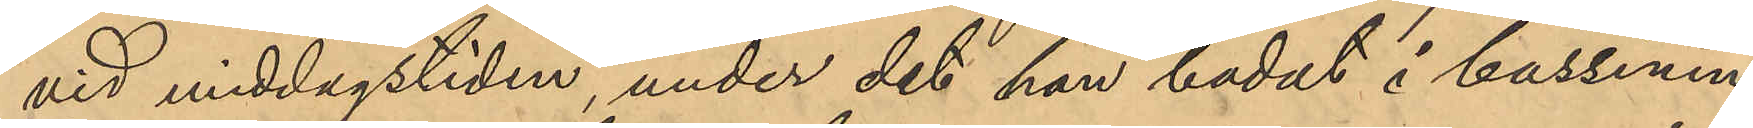vid middagstiden, under det han badat i bassinen
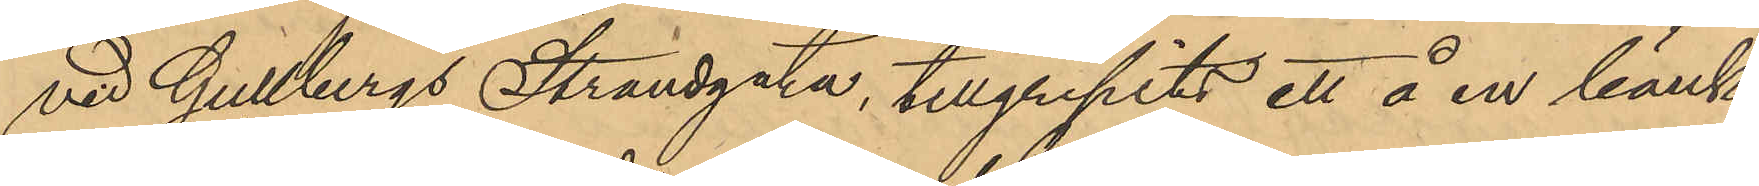vid Gullbergs Strandgata, tillgripits ett å en bänk
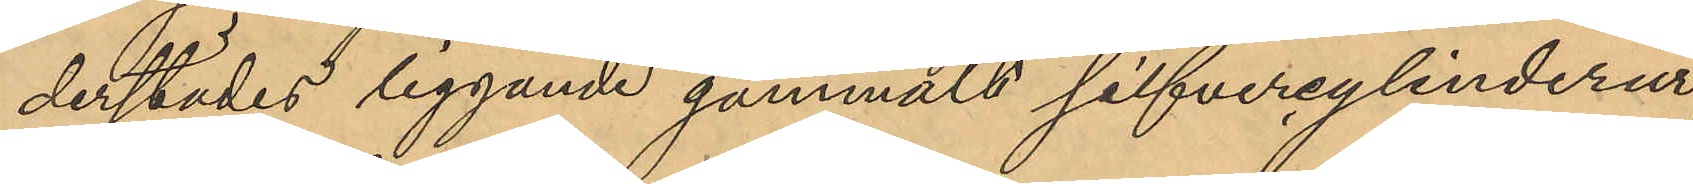derstädes liggande gammalt silfvercylinderur
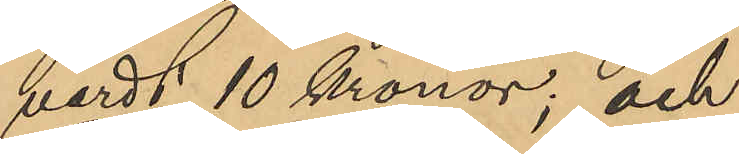värdt 10 Kronor; och
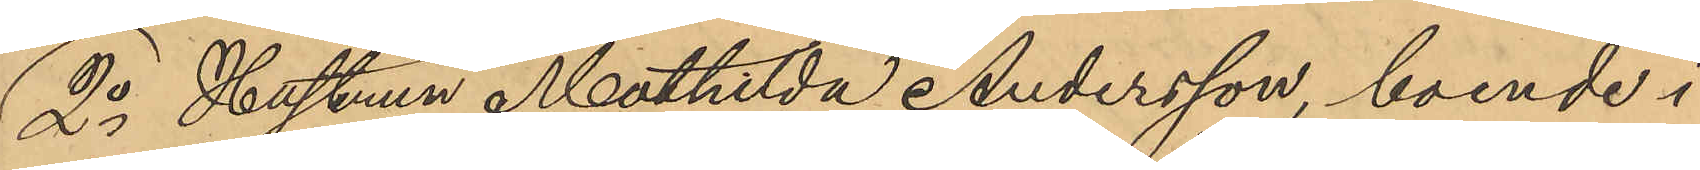2o Hustrun Mathilda Andersson, boende i
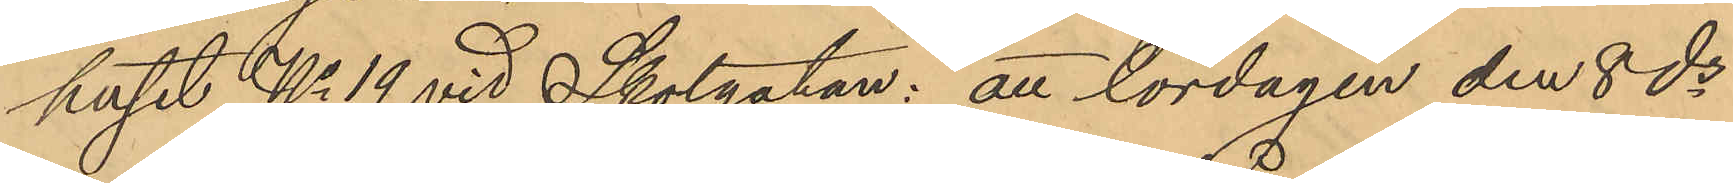huset No 19 vid Skolgatan: att lördagen den 8 ds
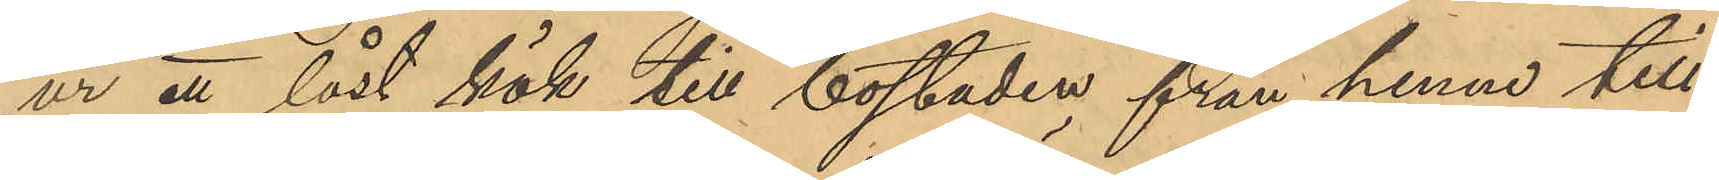ur ett låst kök till bostaden från henne till¬
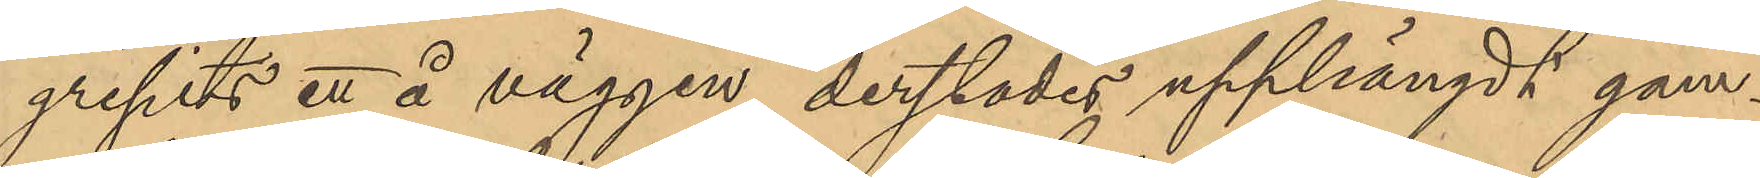gripits ett å väggen derstädes upphängdt gam¬
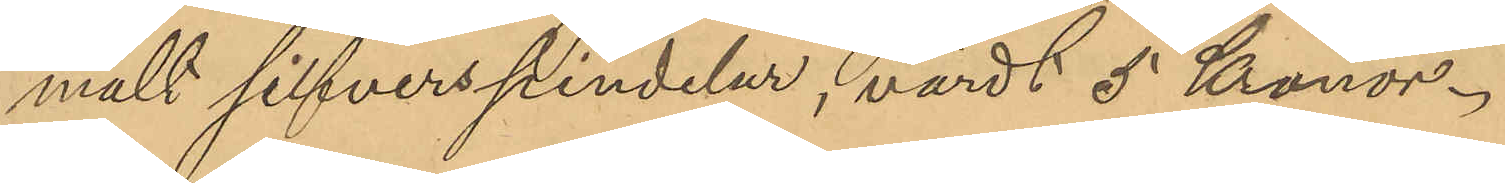mält silfverspindelur, värdt 5 Kronor.
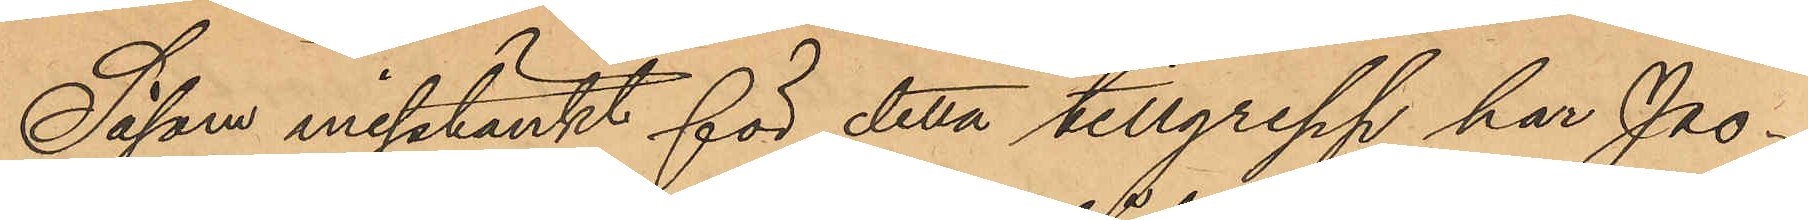Såsom misstänkt för detta tillgrepp har Po¬
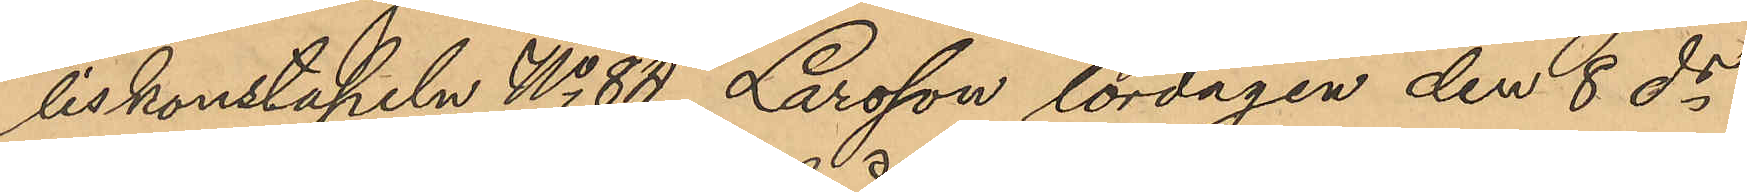liskonstapeln No 84 Larsson lördagen den 8 ds
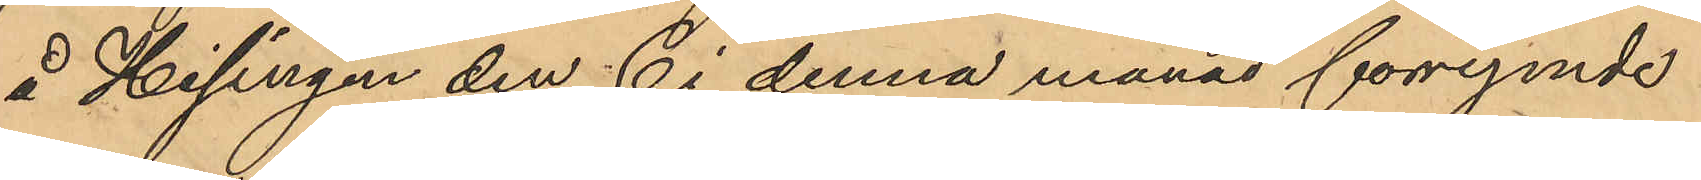å Hisingen den 6 i denna månad förrymde
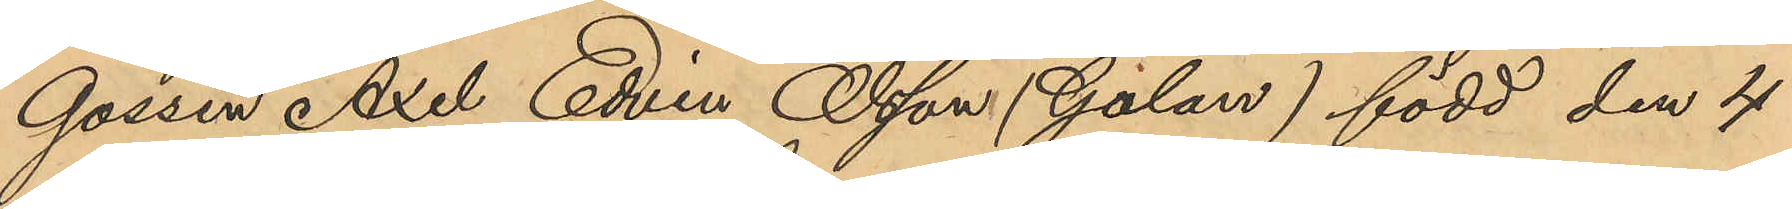Gossen Axel Edvin Olsson (Galan) född den 4
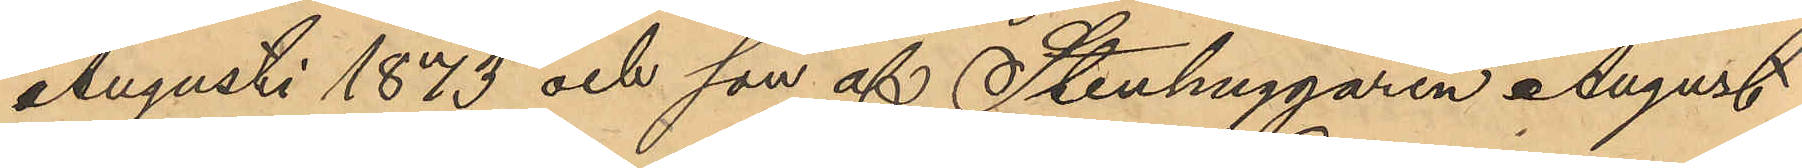Augusti 1873 och son af Stenhuggaren August
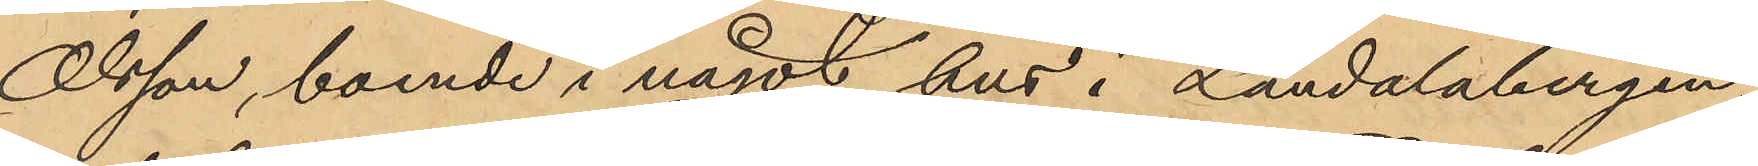Olsson, boende i något hus i Landalabergen;
